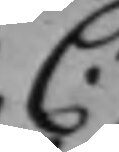C.
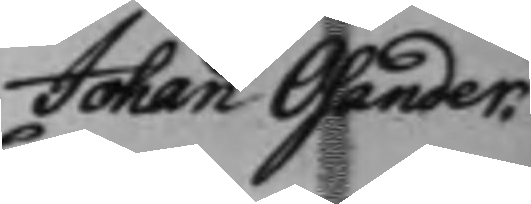Johan Osander.
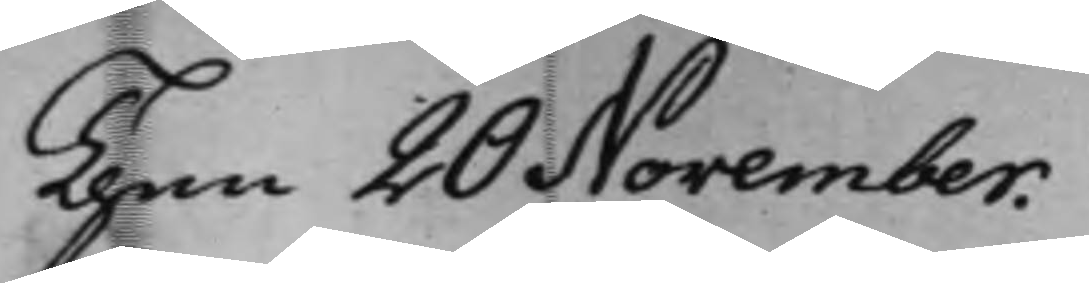Then 20 November.
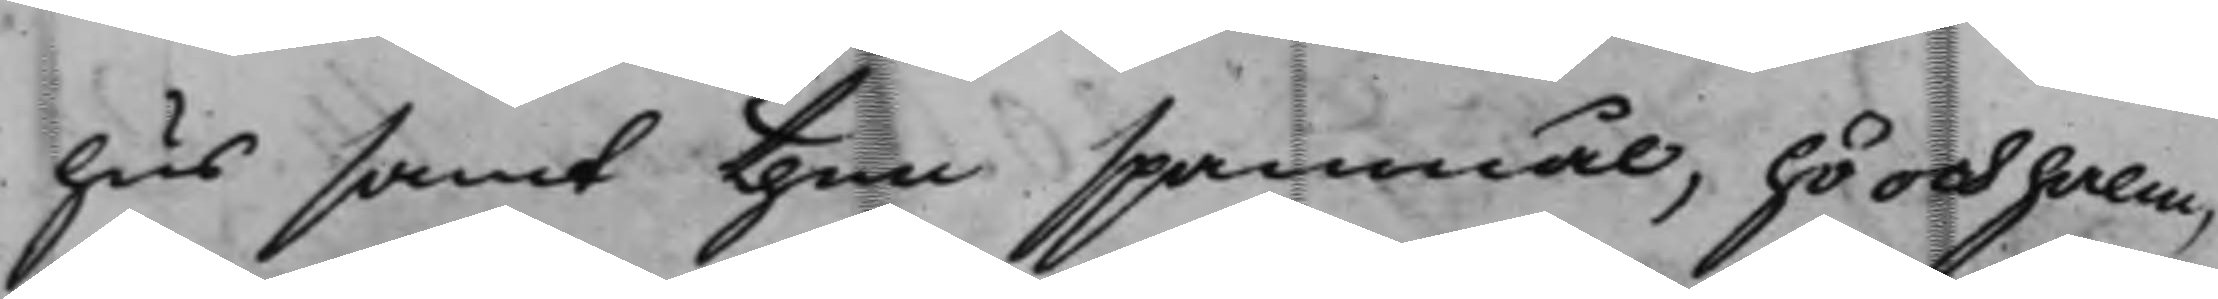hus, samt then spanmål, hö och halm,
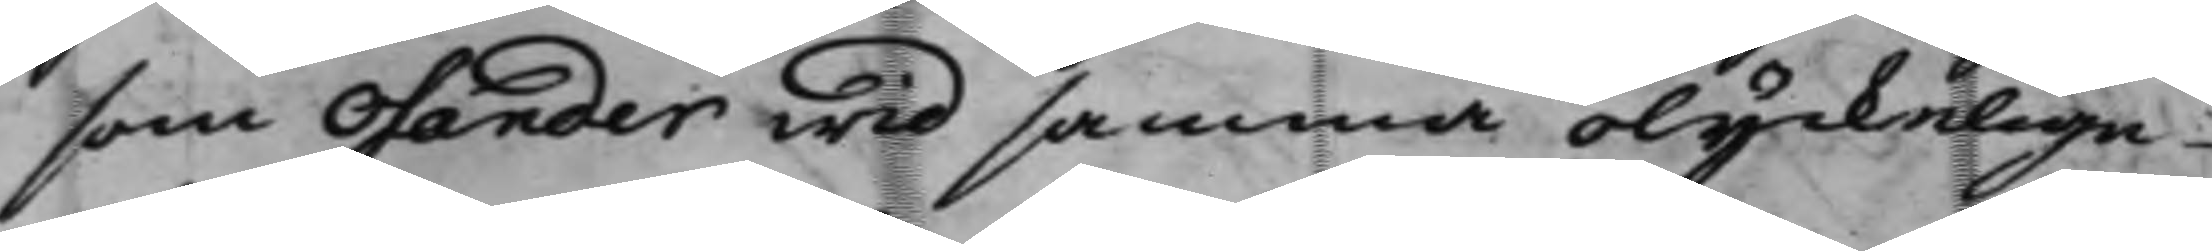som Osander wid samma olyckelige
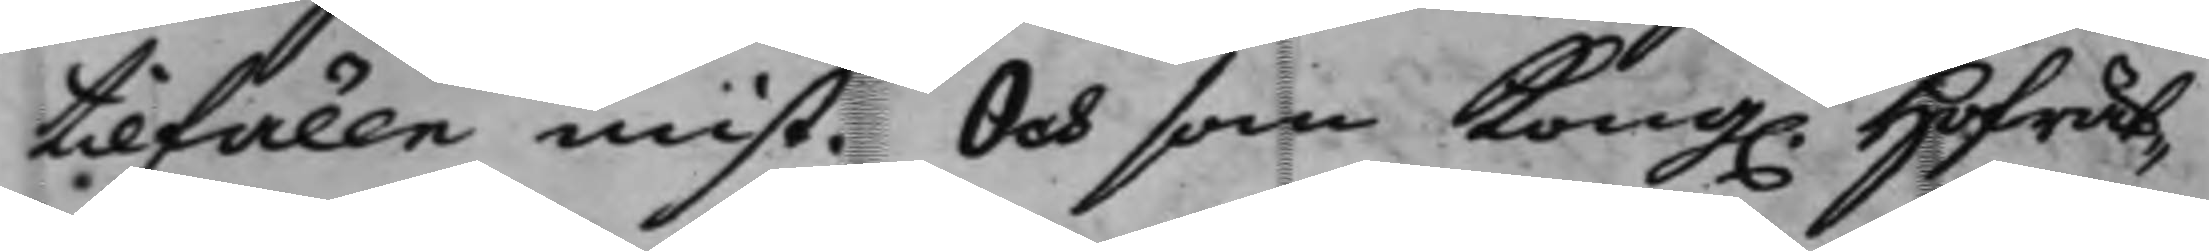tilfälle mist. Och som Kong. Hofrät¬
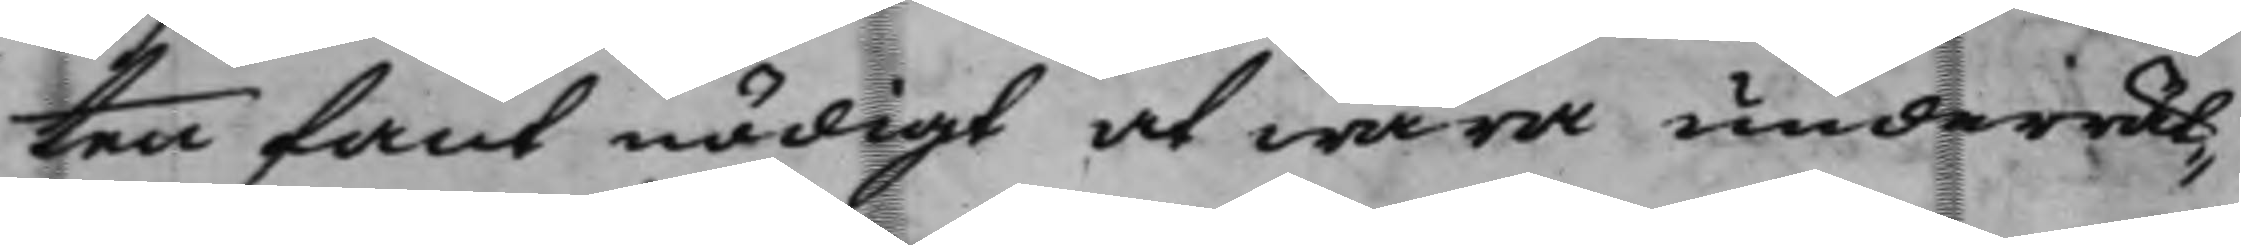ten fant nödigt at wara underrät¬
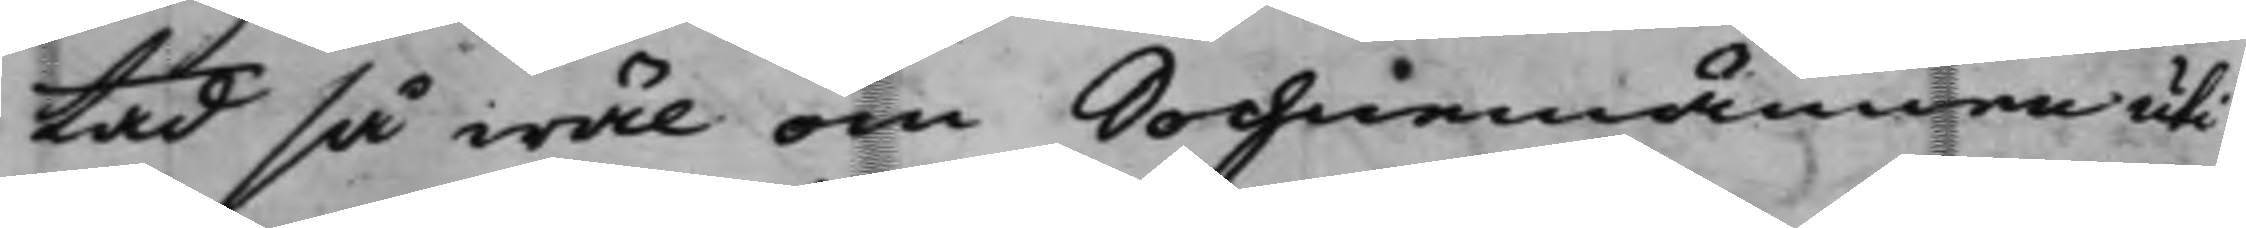tad så wäl om Sochnemännen uti
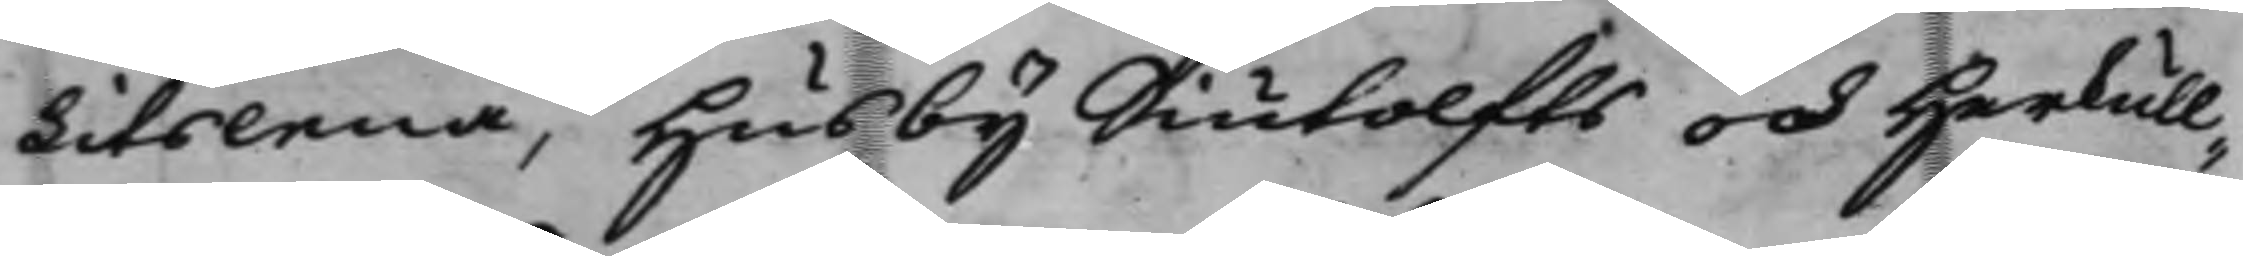Litslena, Husby Siutolfts och Herkull¬
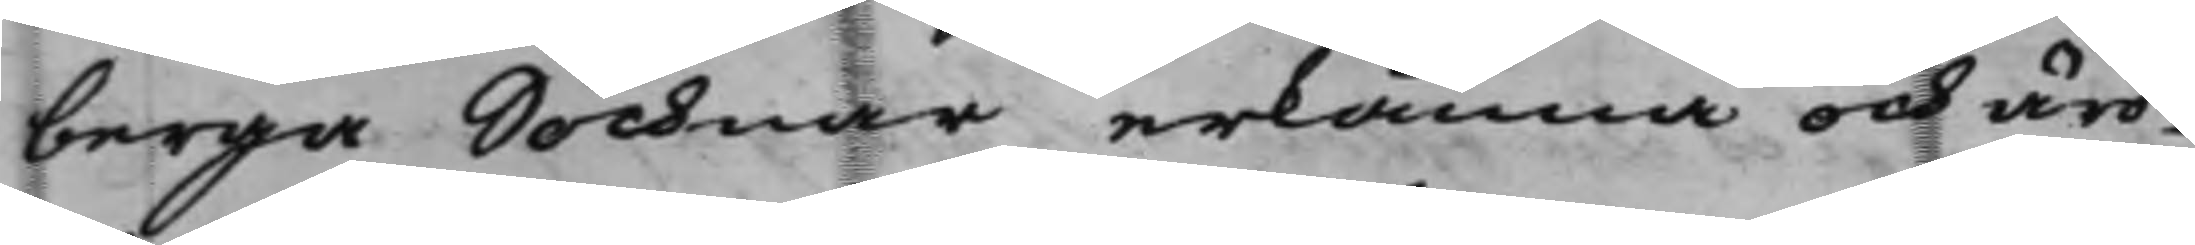berga Sochnar erkänna och äro
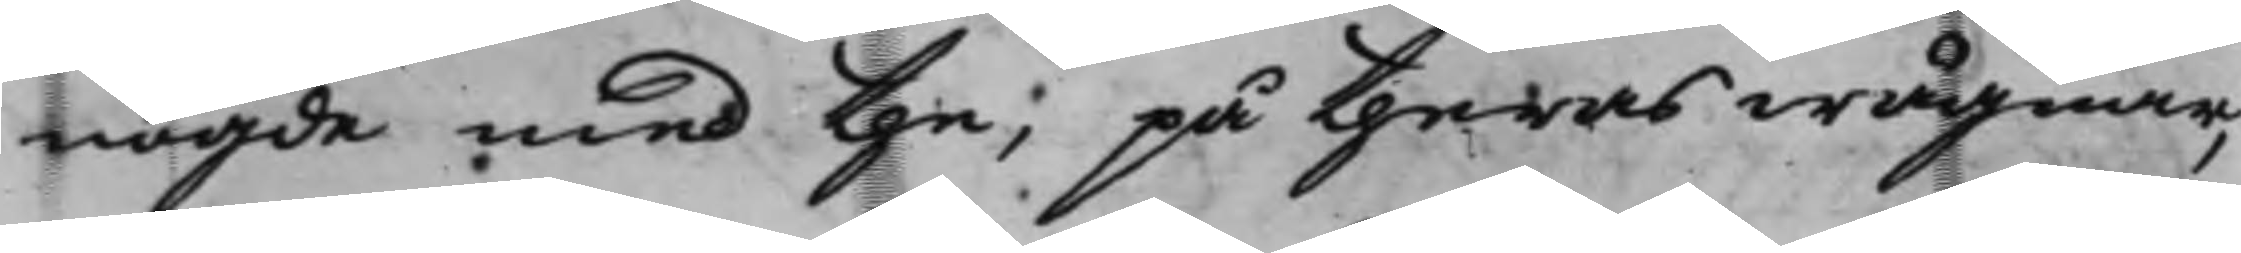nögde med the, på theras wägnar,
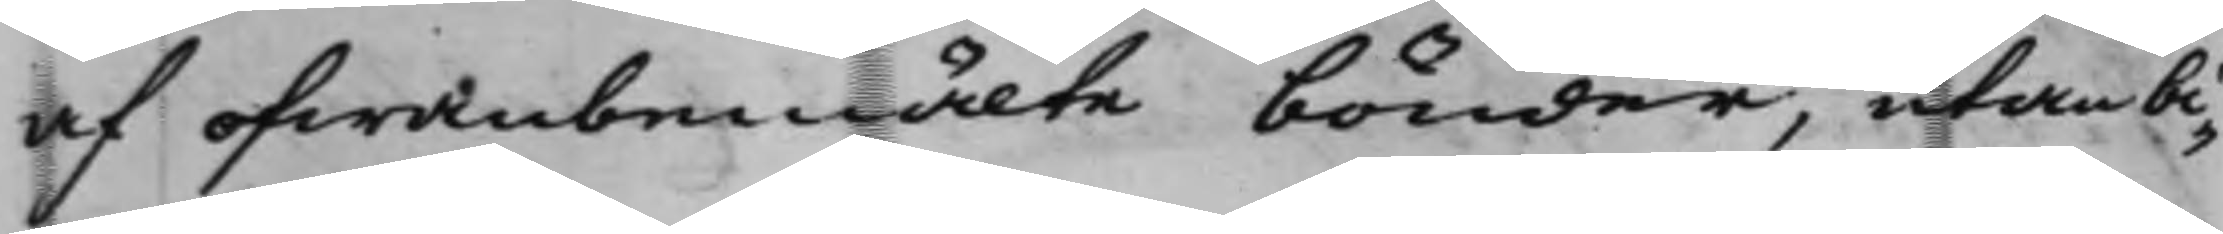af ofwanbemälte bönder, utan bi¬
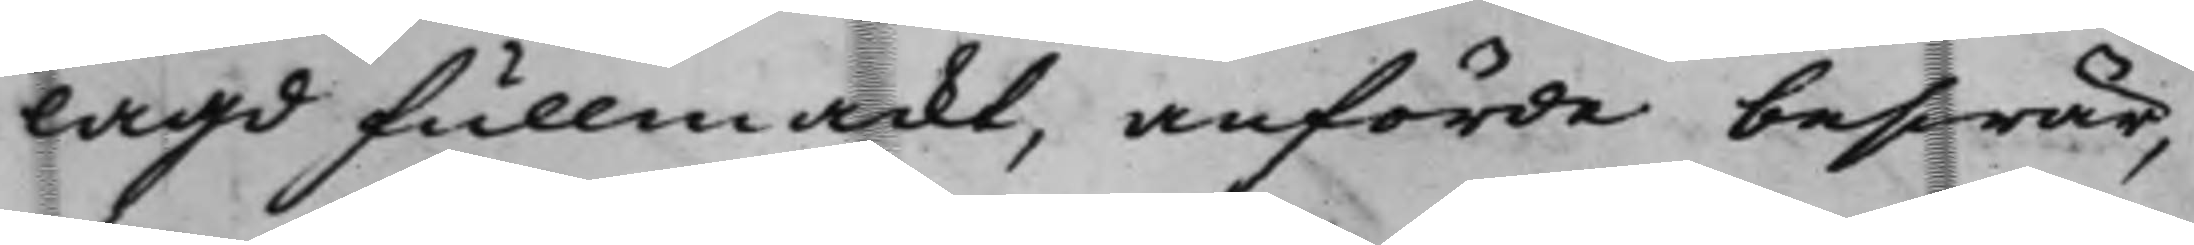lagd fullmackt, anförde beswär,
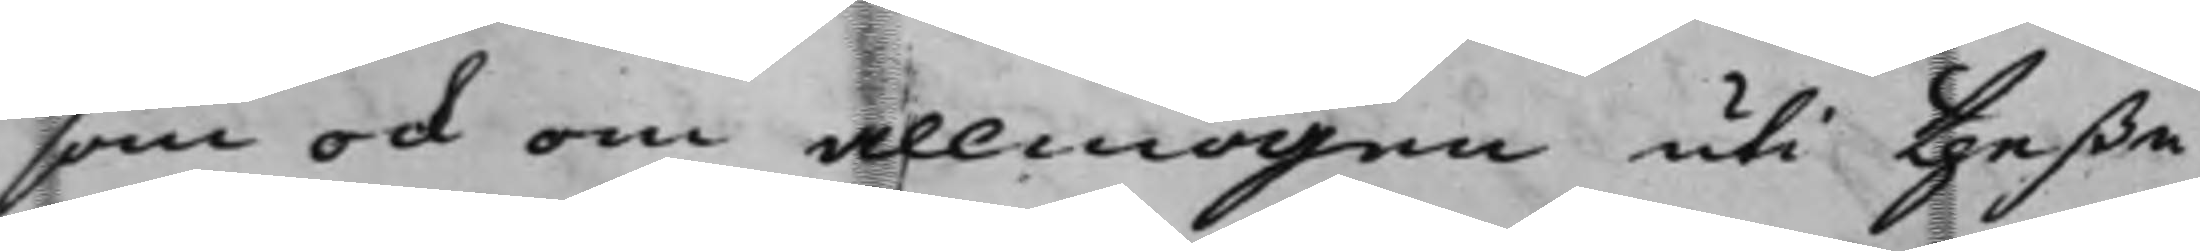som ock om allmogen uti theße
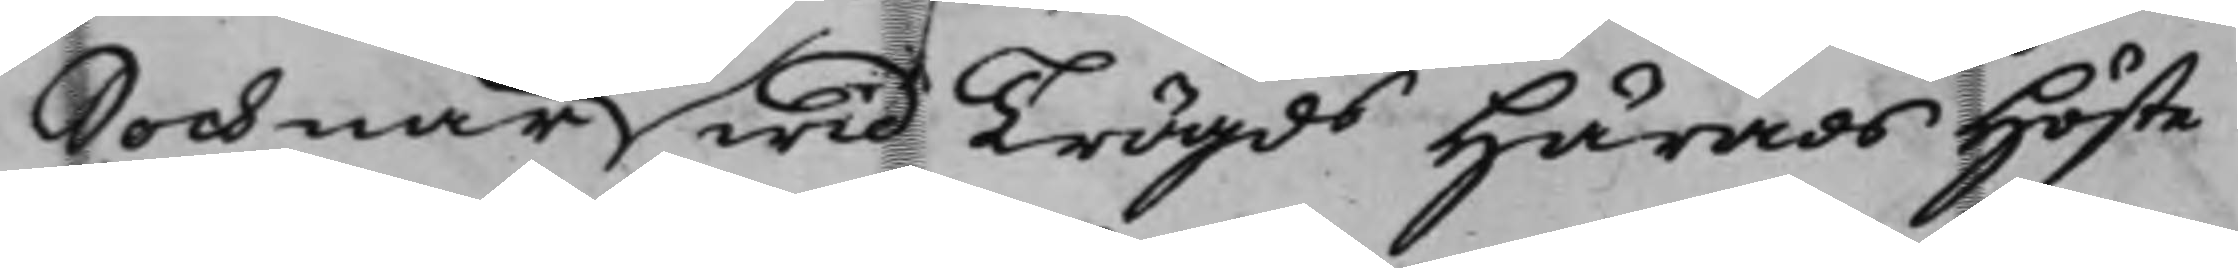Sochnar wid Trögd Härads Höste¬
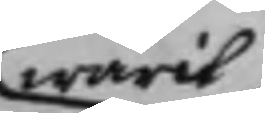warit
